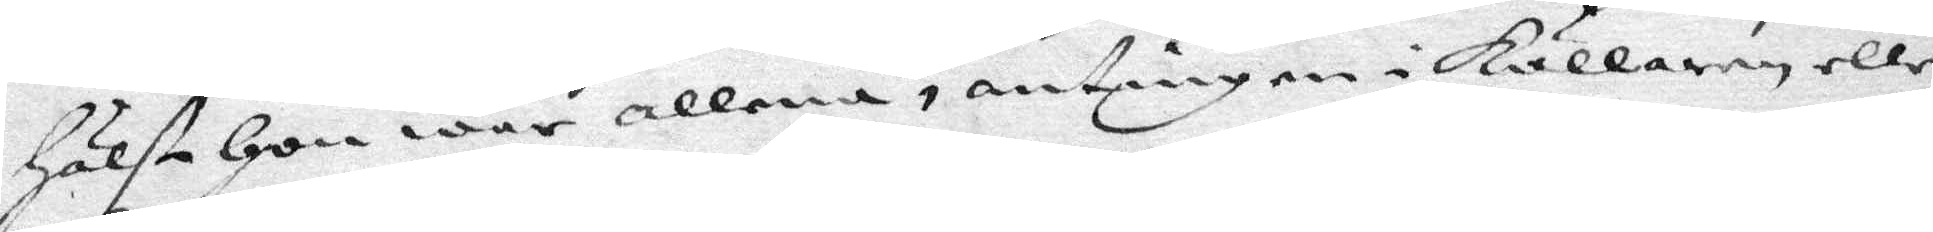Hälst Hon war allena, antingen i Källaren eller
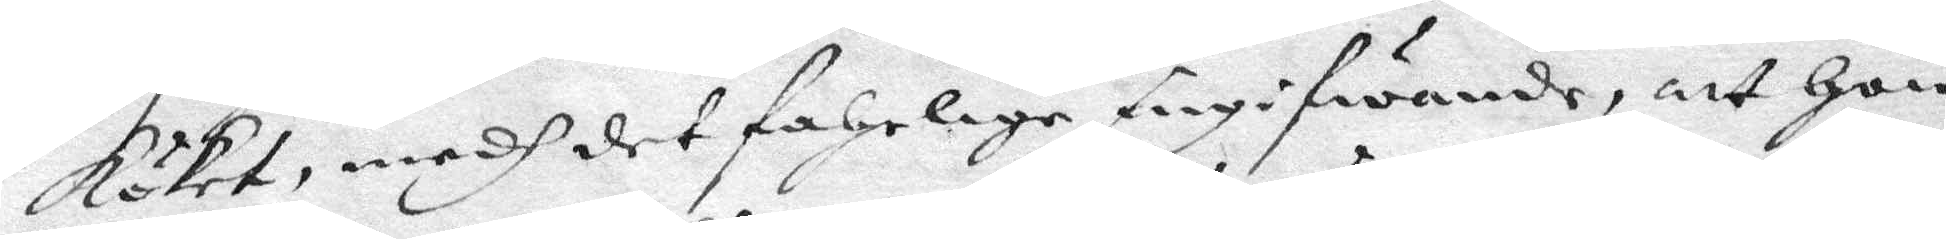Köket, medh det fahrlige angifwande, att Hon
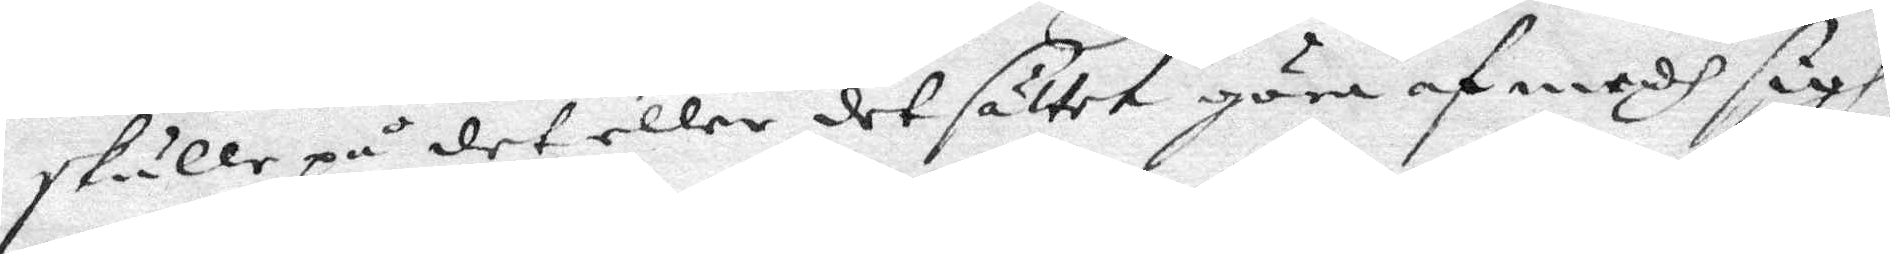skulle på det eller det sättet göra af medh sigh
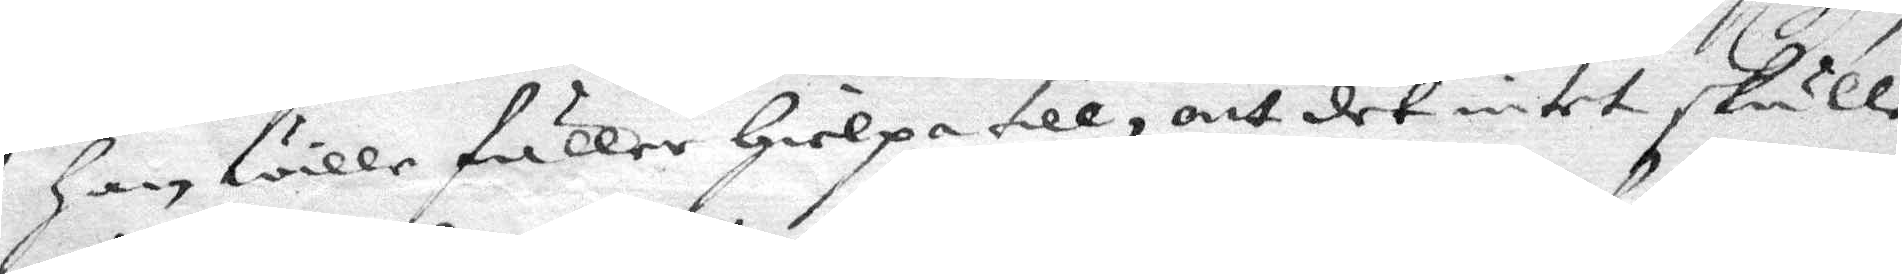Han wille fuller Hielpa till, att det intet skulle
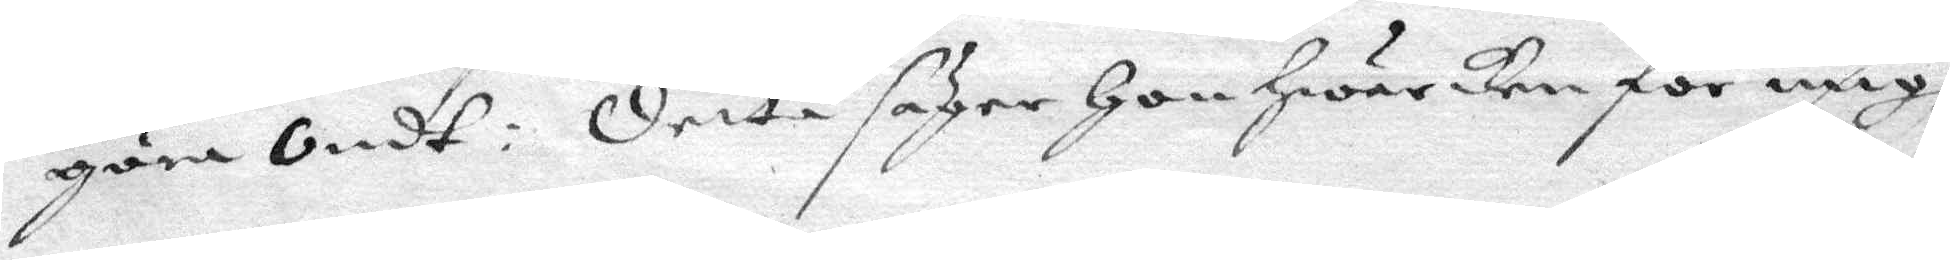göra ondt; detta säger Hon Hwarken för migh
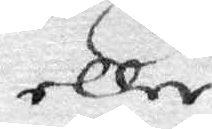eller
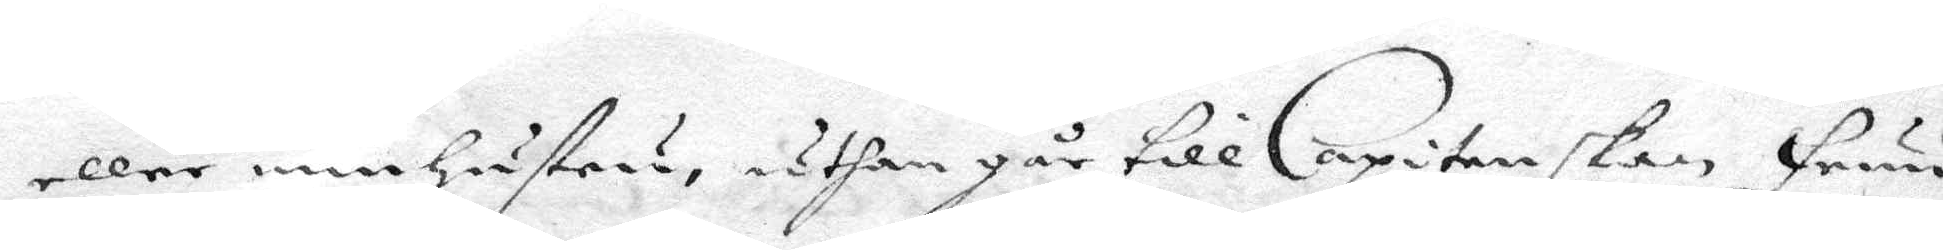eller min hustru, uthan går till Capitenskan Fruu
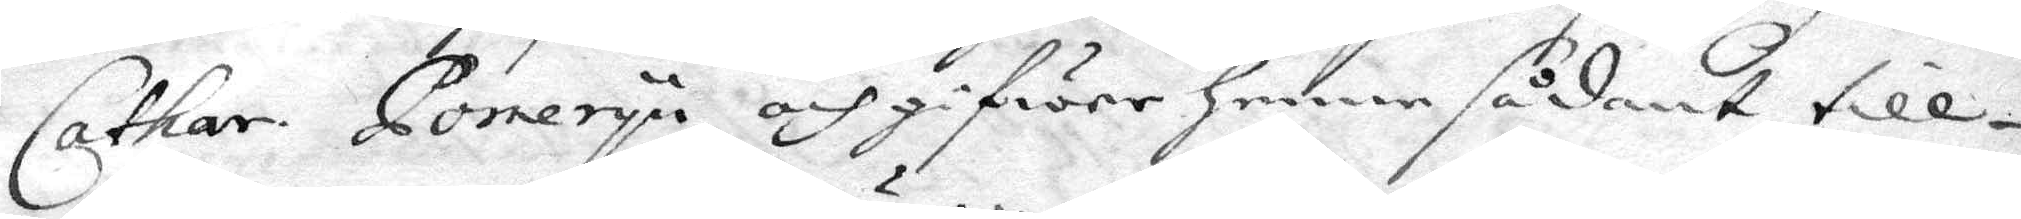Cathar. Poneryn och gifwer henne sådant till¬
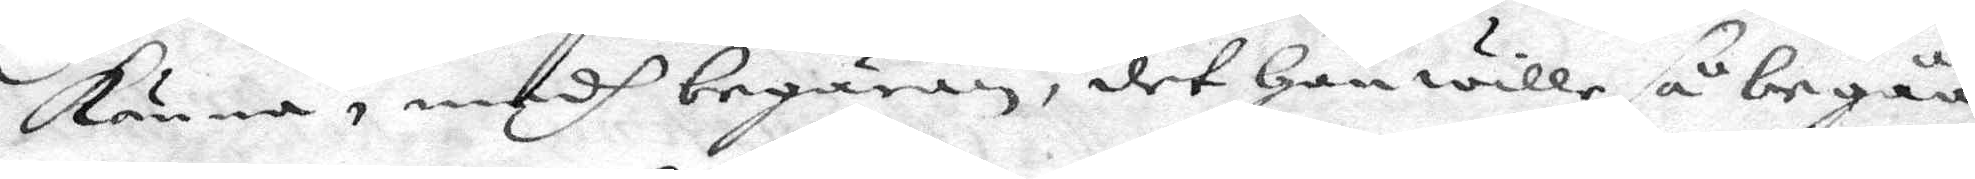känna, medh begäran, det Han wille så begåå
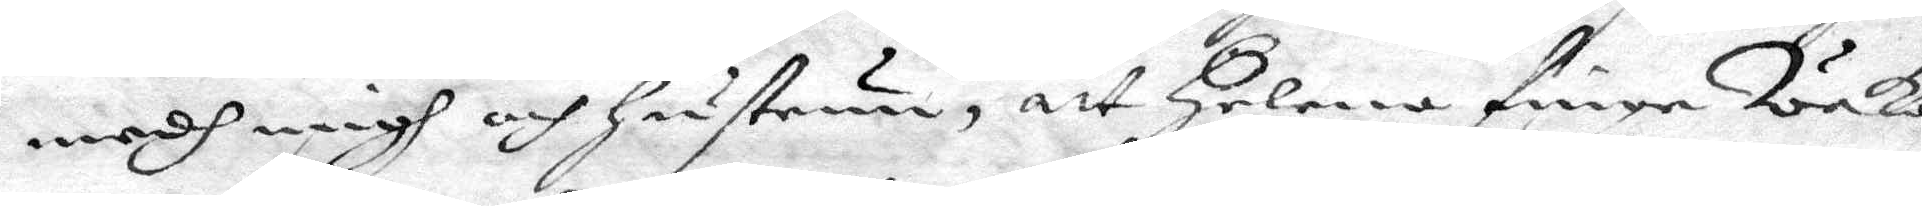medh migh och hustrun, att Helena finge Waka
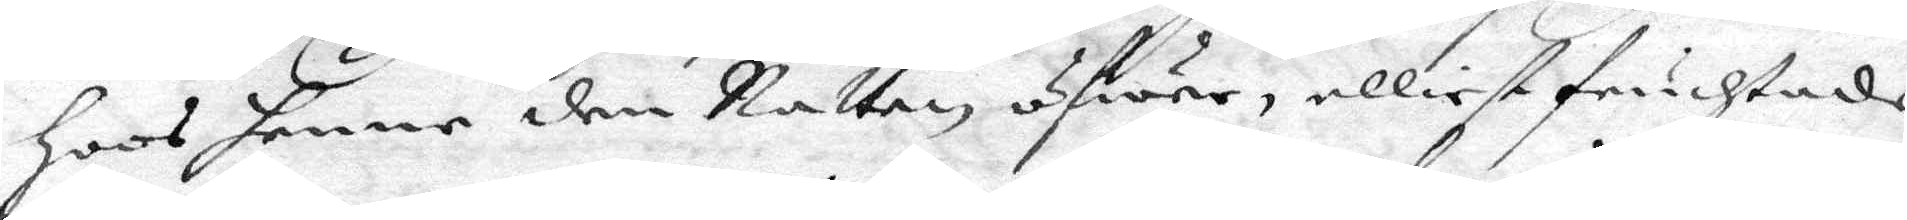hoos henne den Natten öfwer, elliest fruchtade
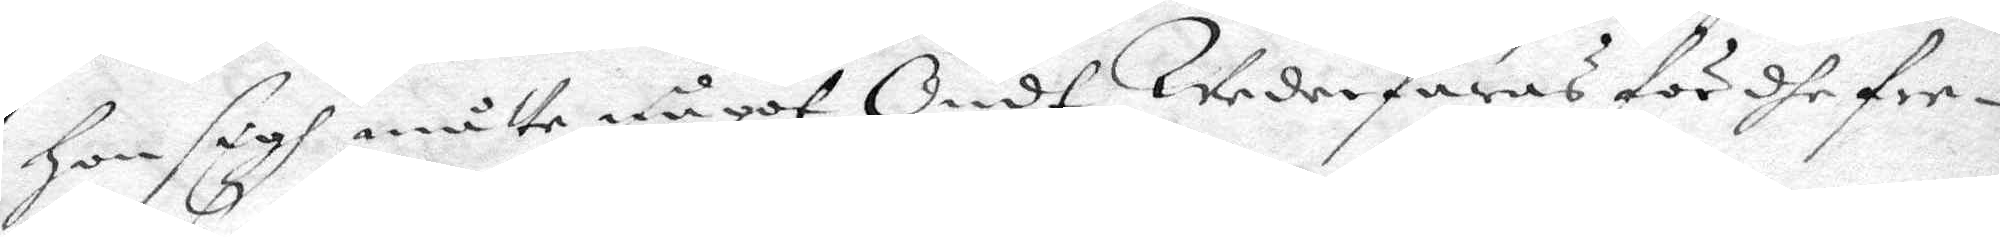Hon sigh måtte något Ondt Wederfaras för dhe fre¬
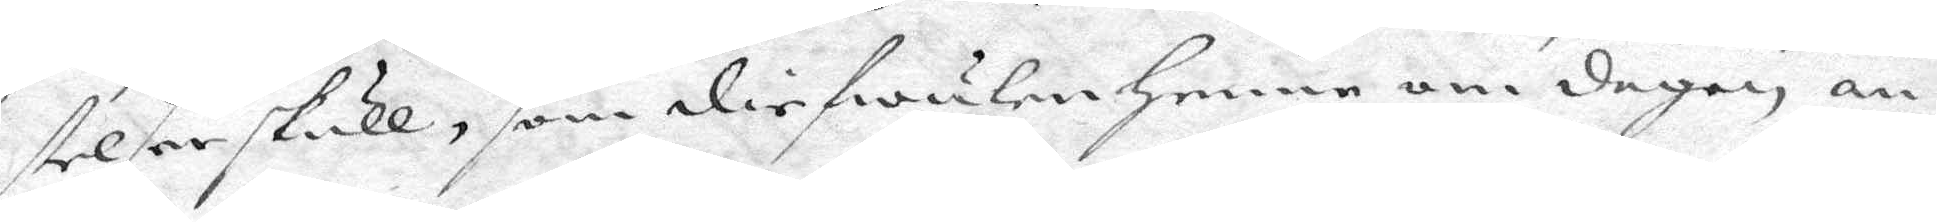stelser skull, som diefwulen Henne om dagen an¬
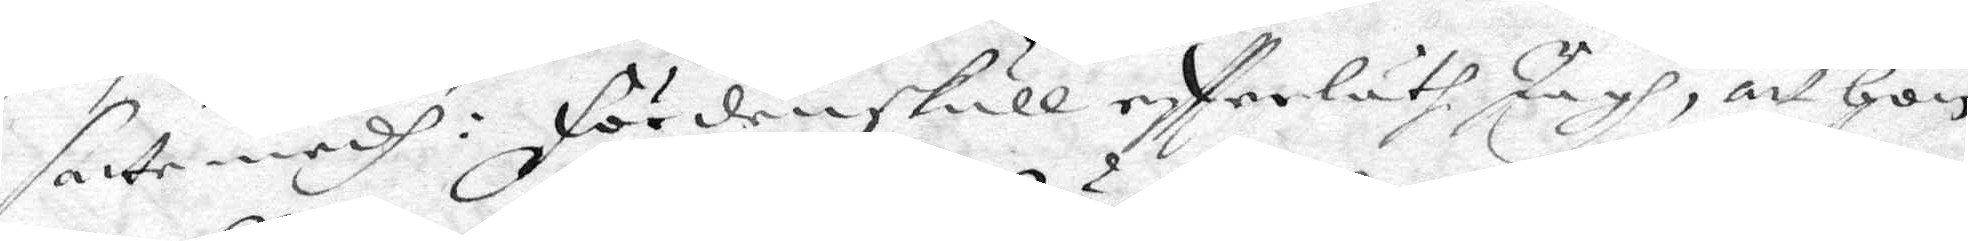satte medh: fördenskull effterläth Jagh, att Hon
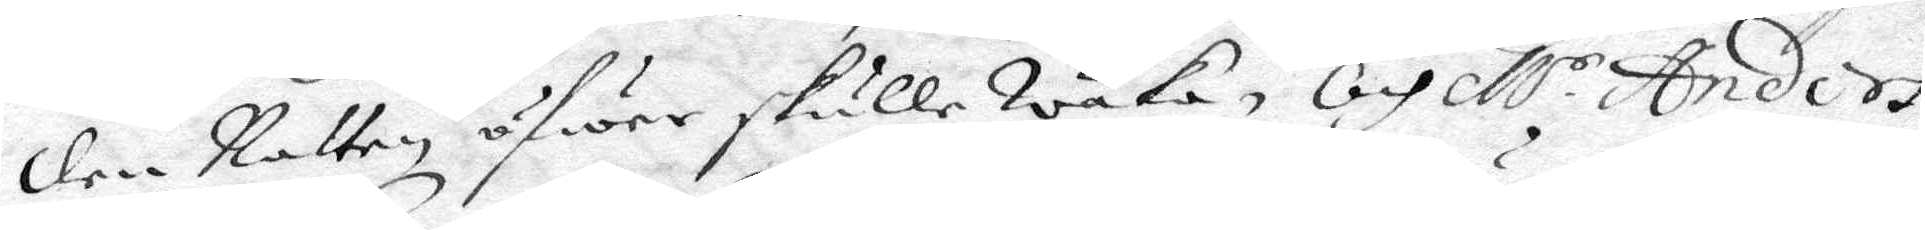den Natten öfwer skulle Waka, och M.r Anders
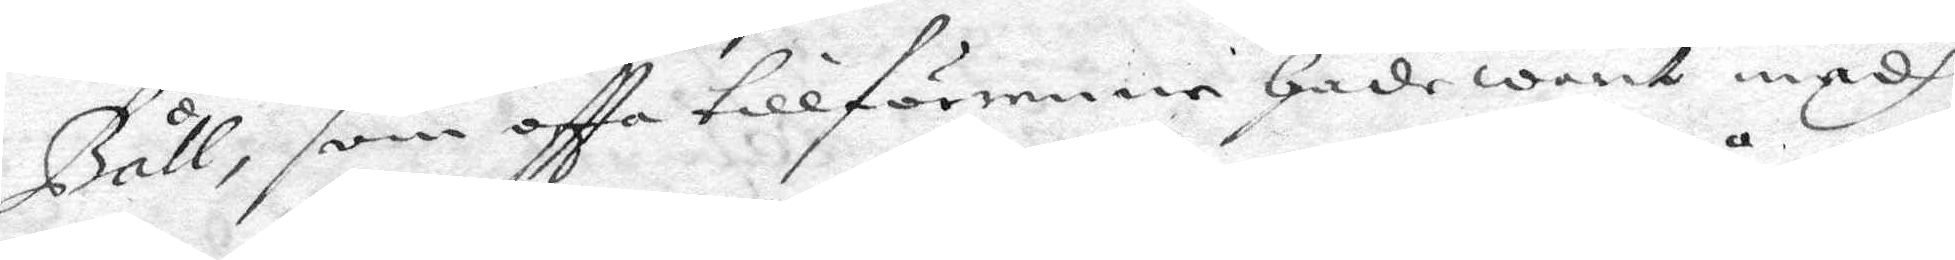Båll, som oftta tillförenne hade warit medh
